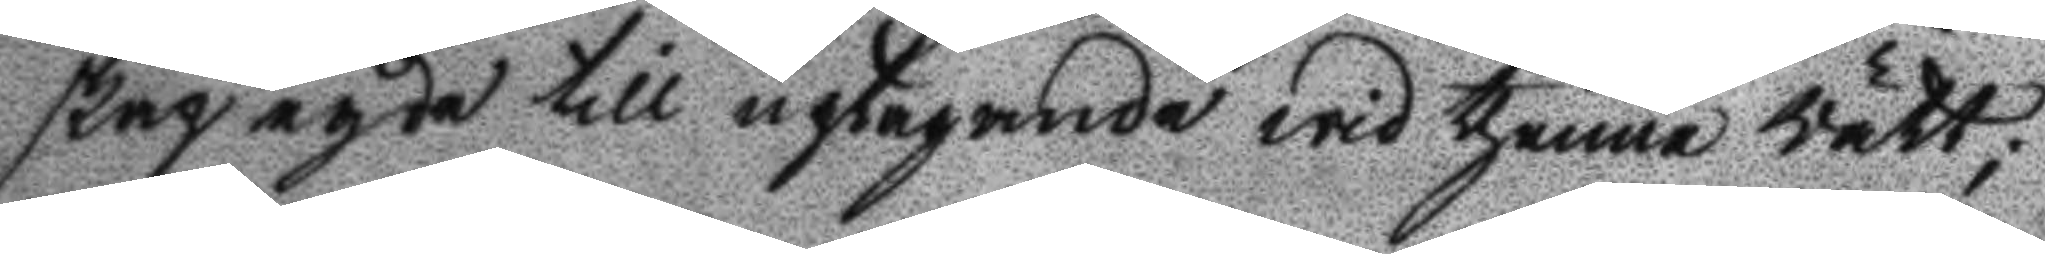skap egde till uptagande wid thenne Rätt;
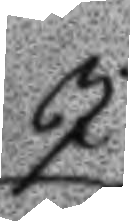I
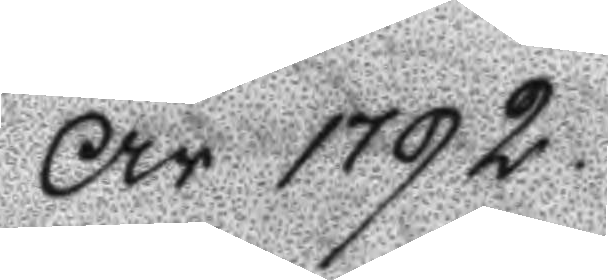År 1792.
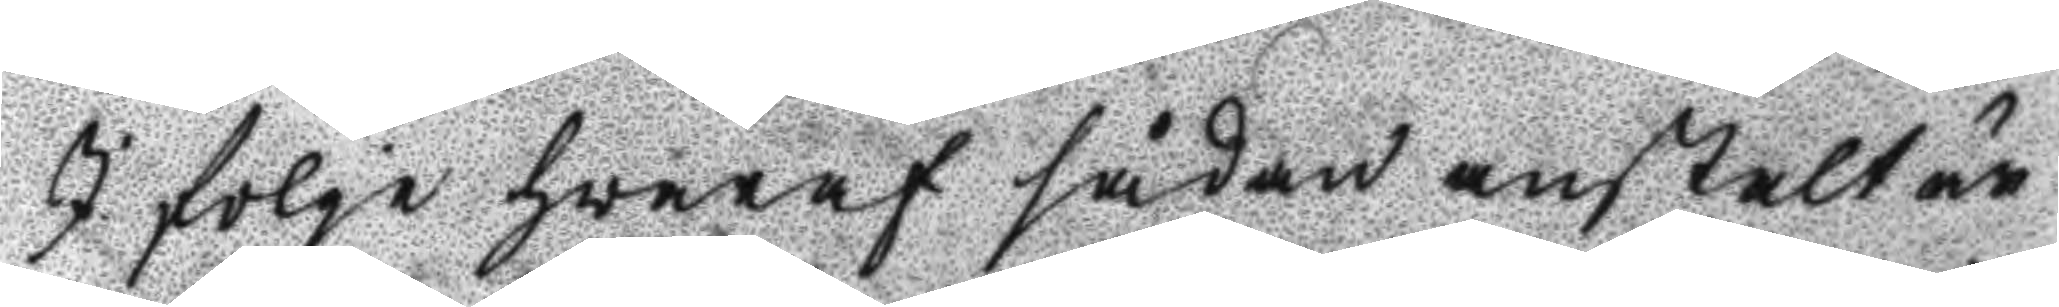I fölge hwaraf sådan anstalt är
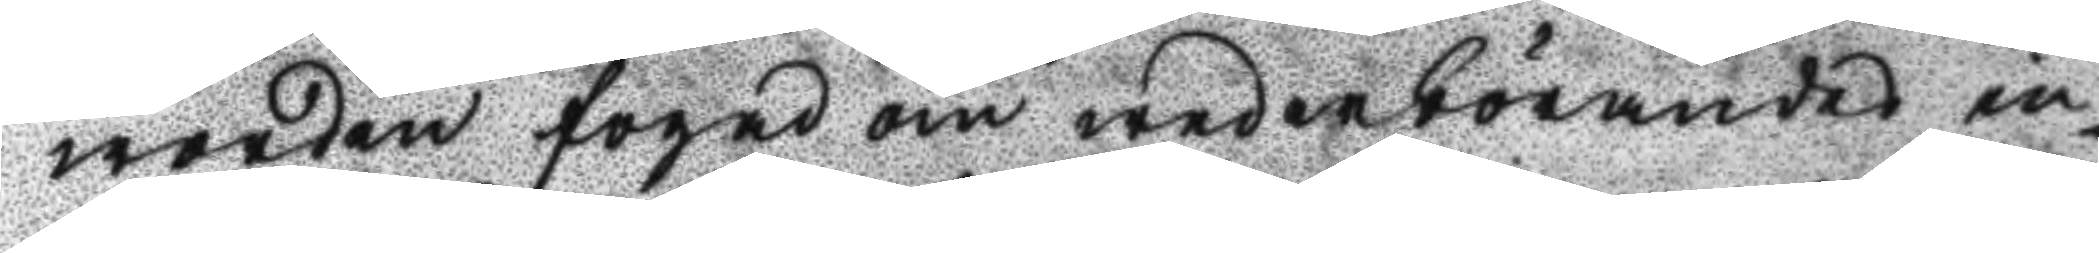worden fogad om wederbörandes in¬
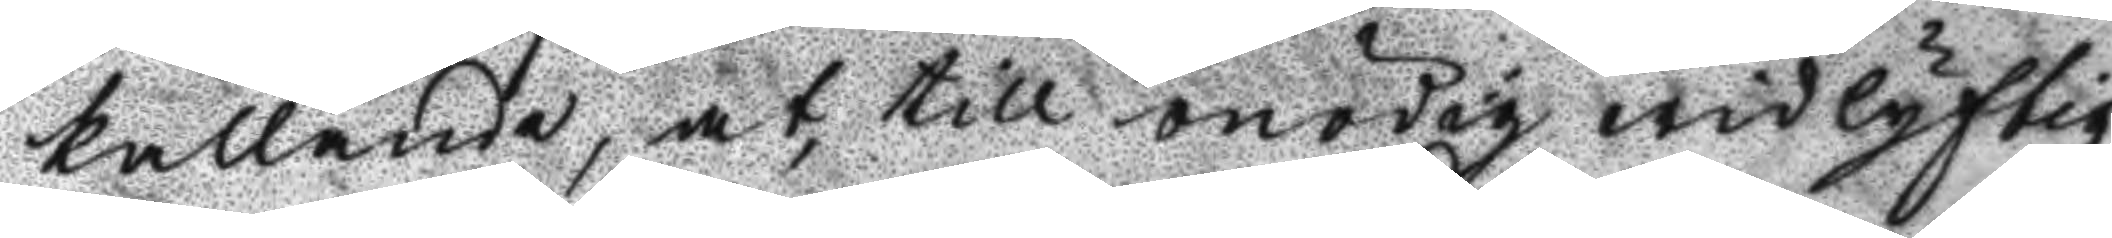kallande, at, till onödig widlyftig¬
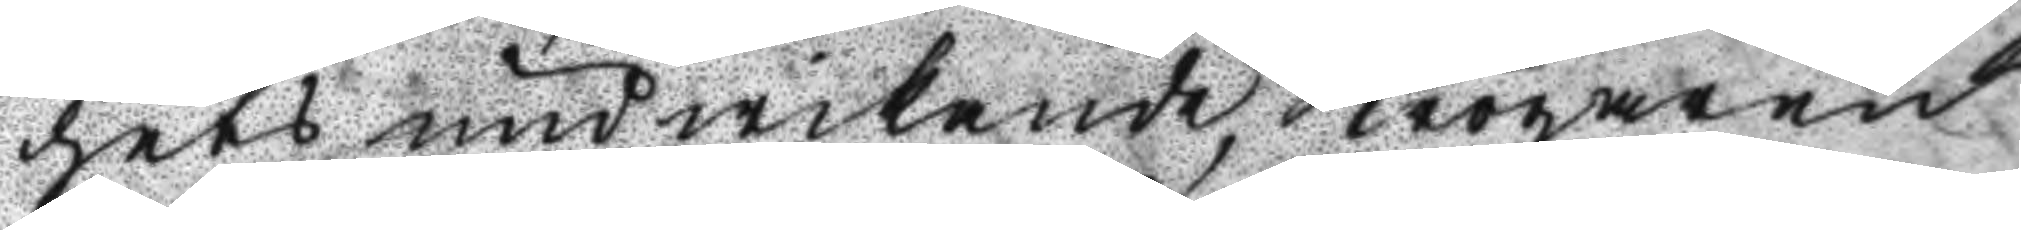hets undwikande, Krögaren
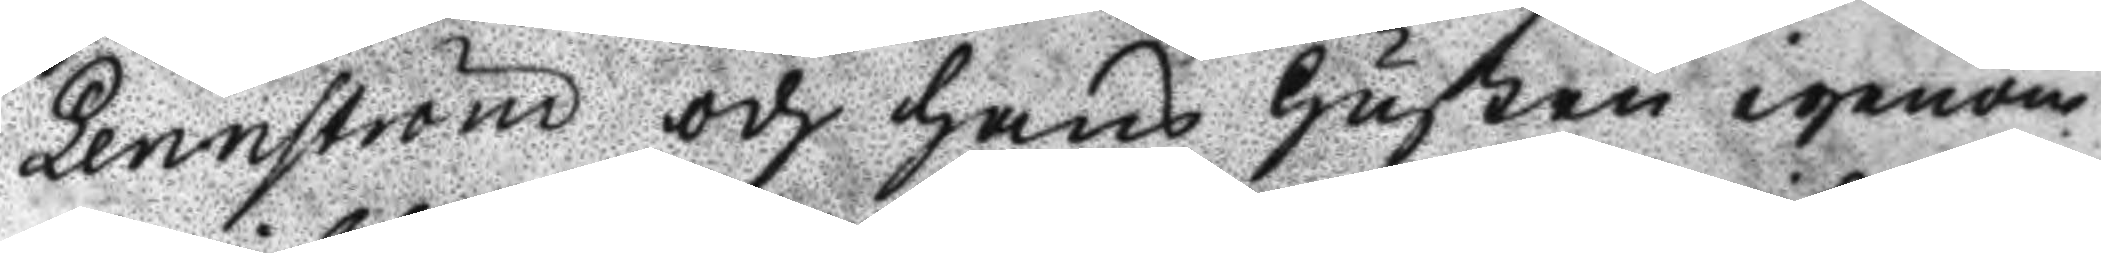Lennström och hans Hustru igenom
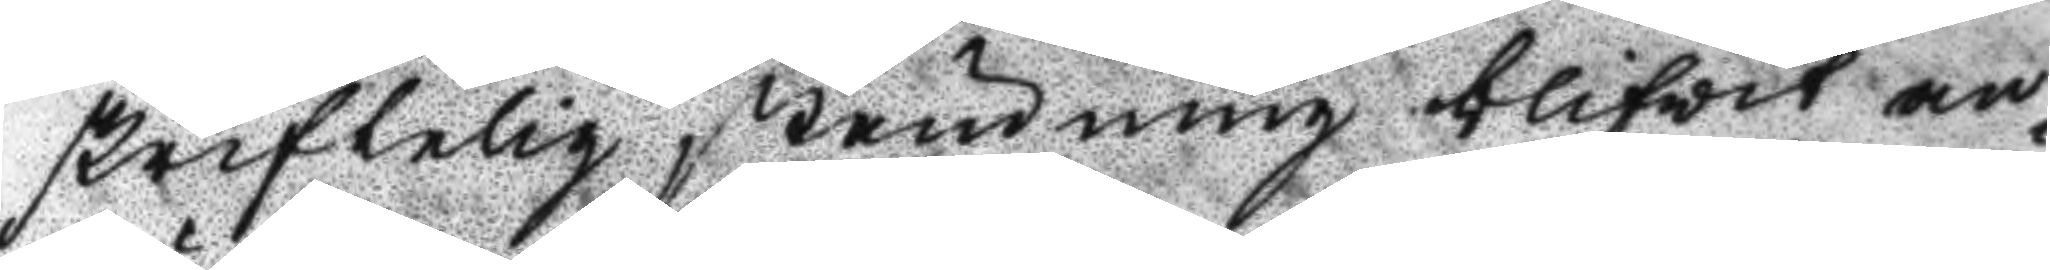skriftelig stämning blifvit an¬
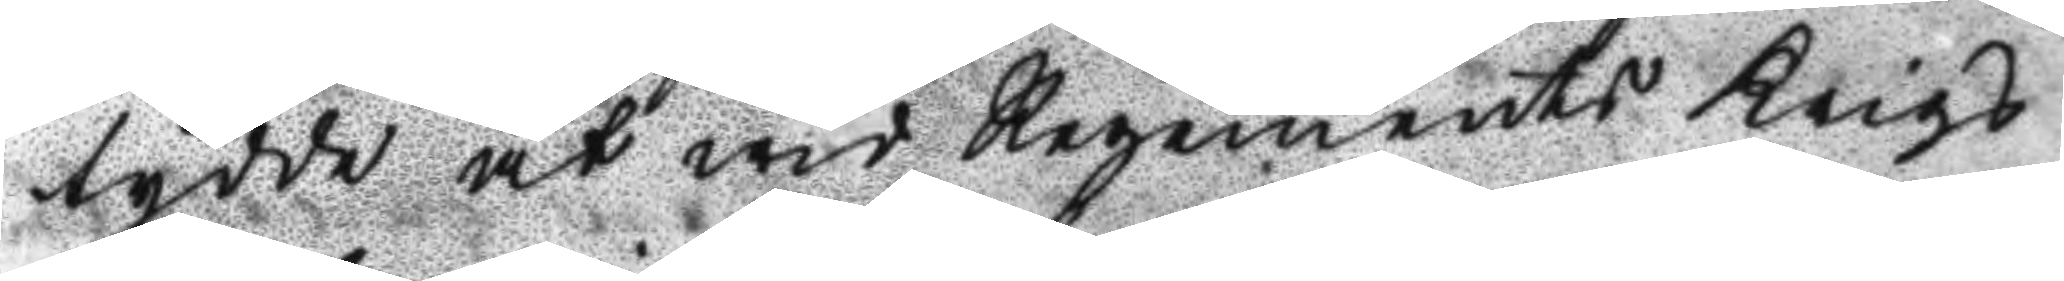tyffe at wid Regements Krigs
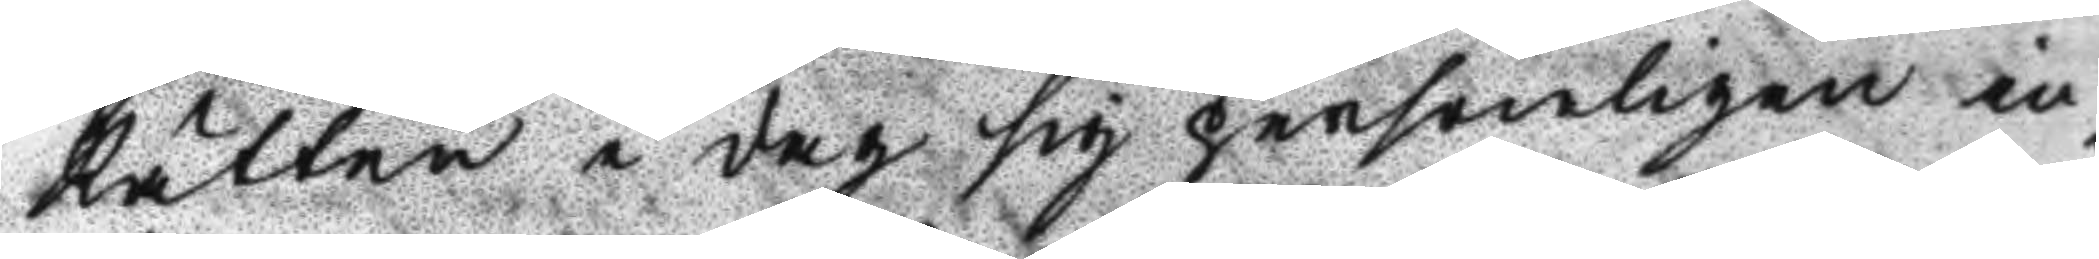Rätten i dag sig personligen in¬
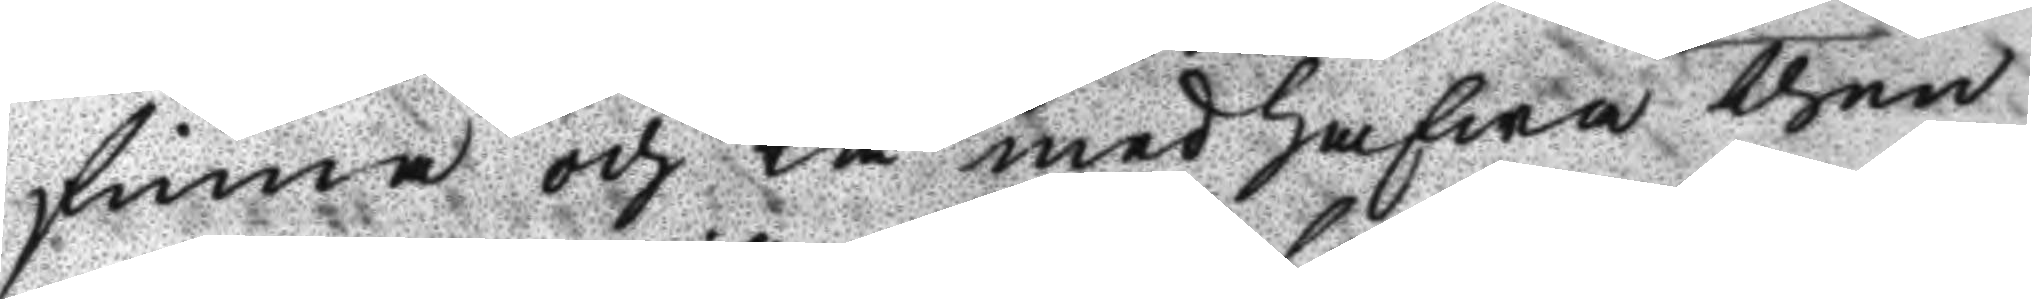finna och tå med hafwa then
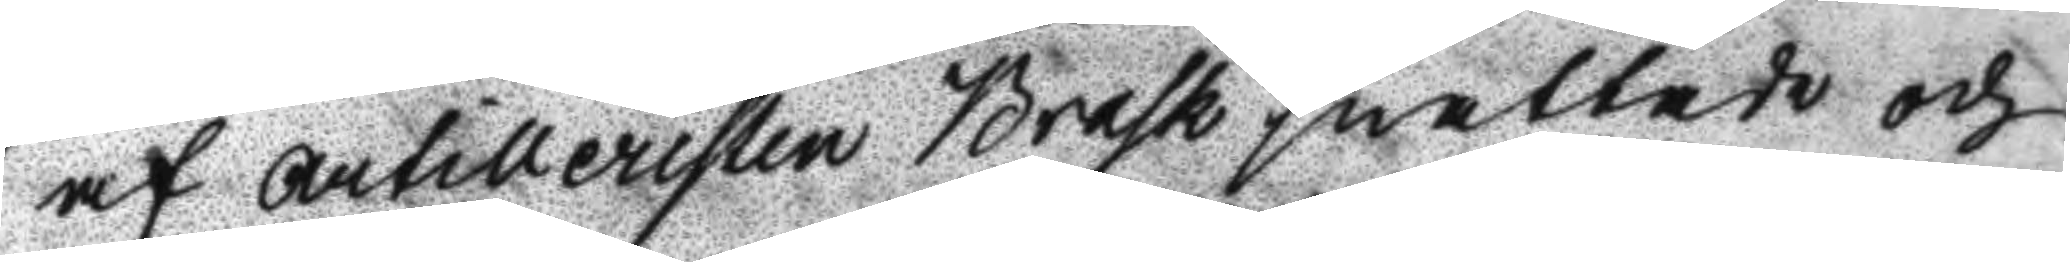af Artilleristen Brask snattade och
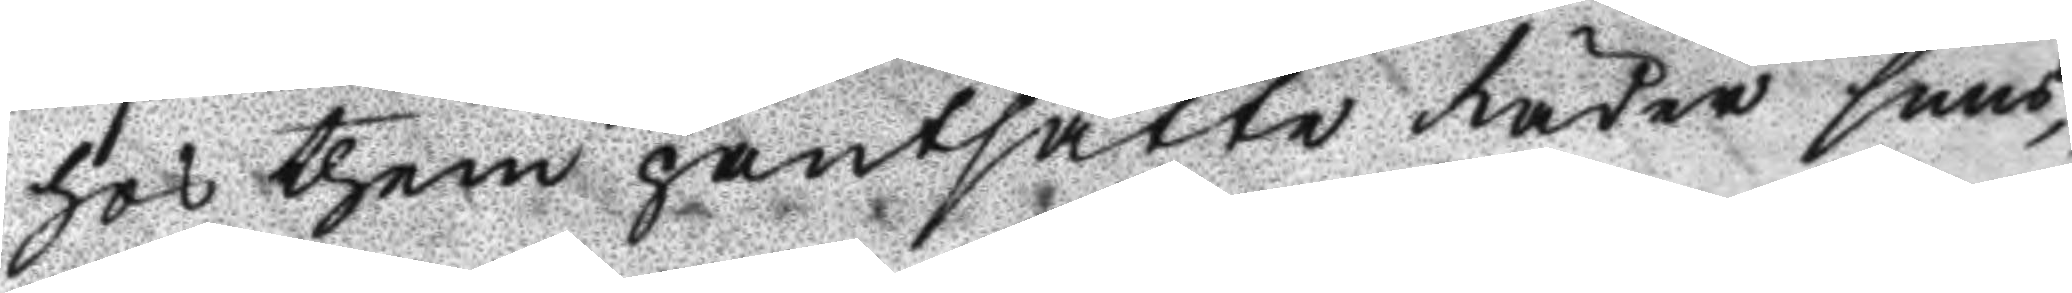hos them pantsatte Lader snus¬
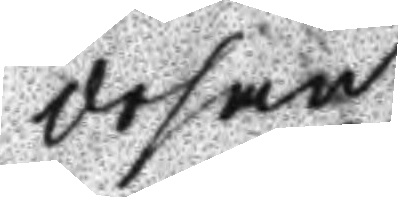dosan.
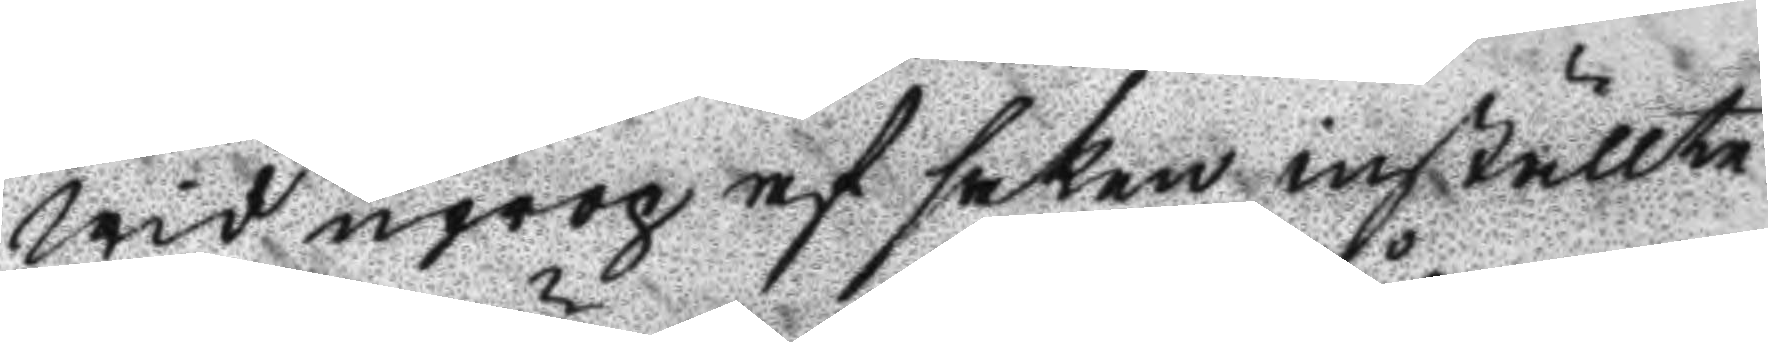Wid uprop af saken inställte
